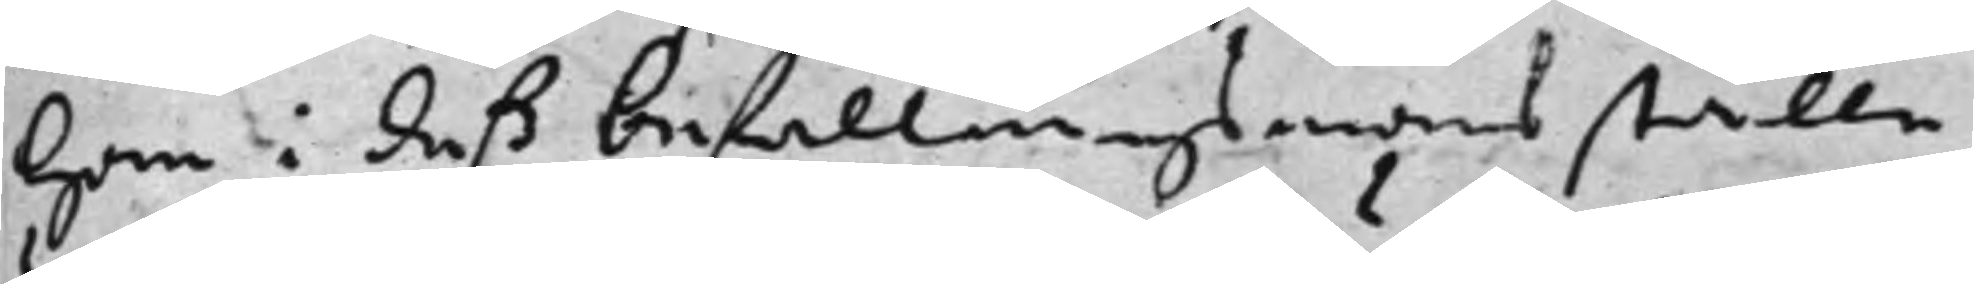han i deß befallningsmans ställe
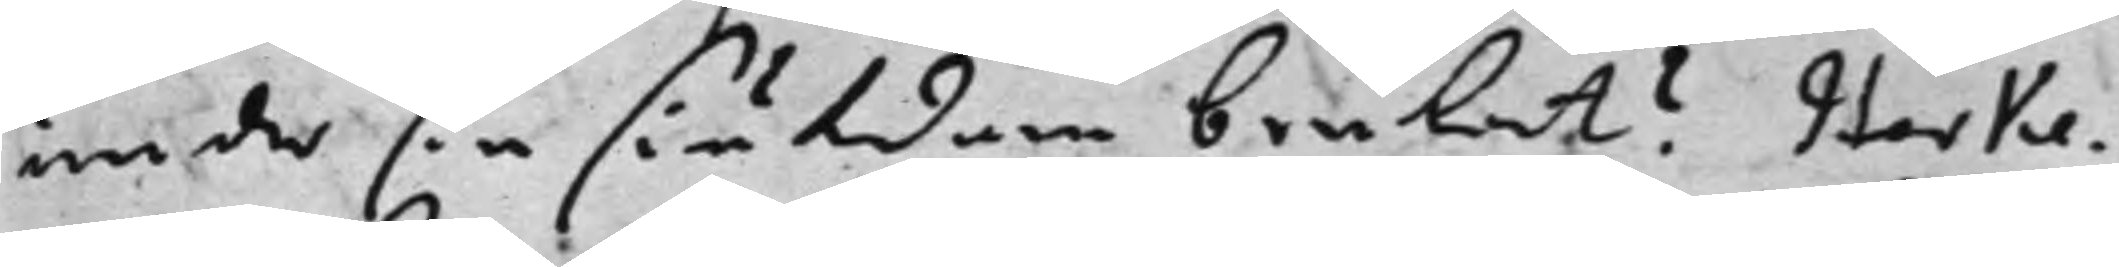under sin siukdom brukat? Herke¬
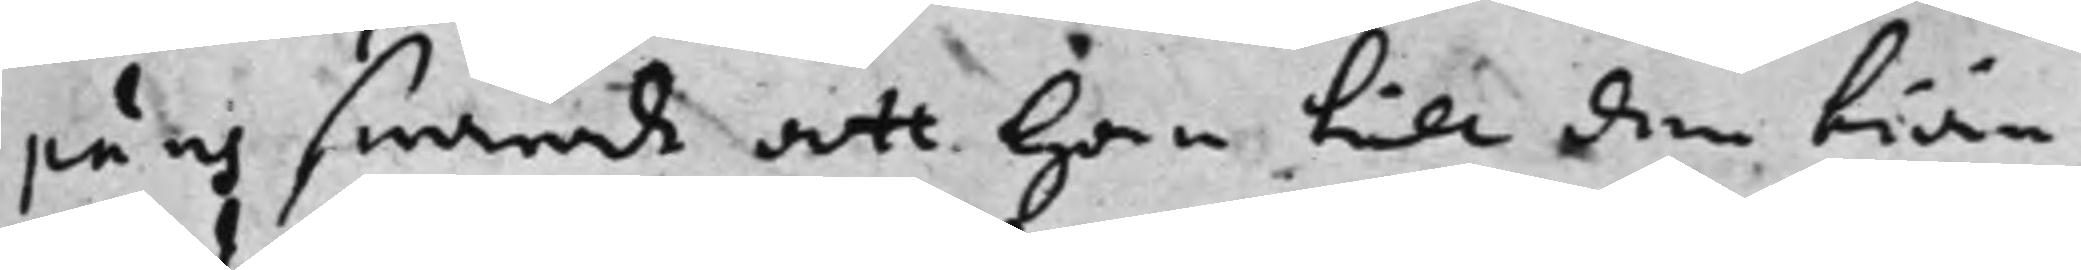päus swarade att han till den tiän¬
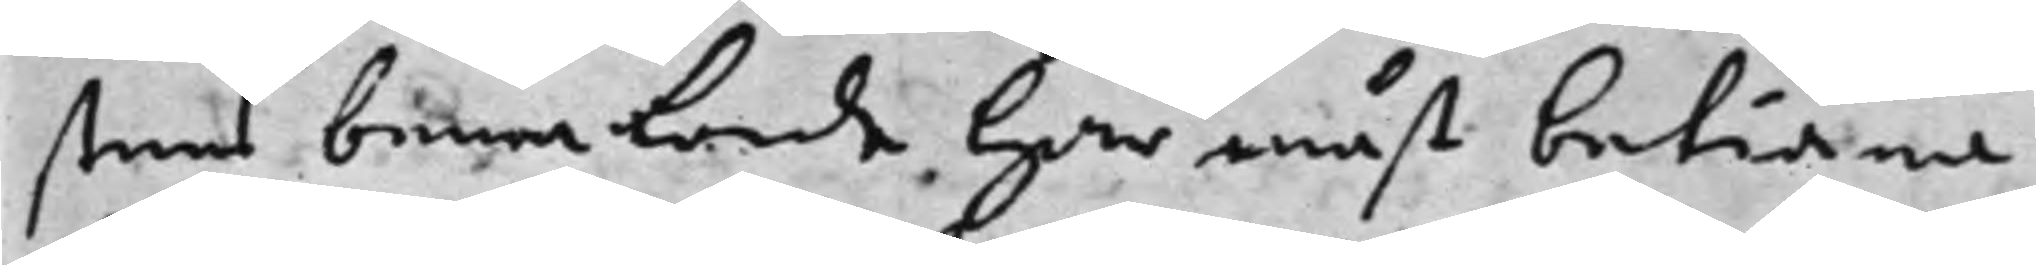stens bewakande har måst betiäna
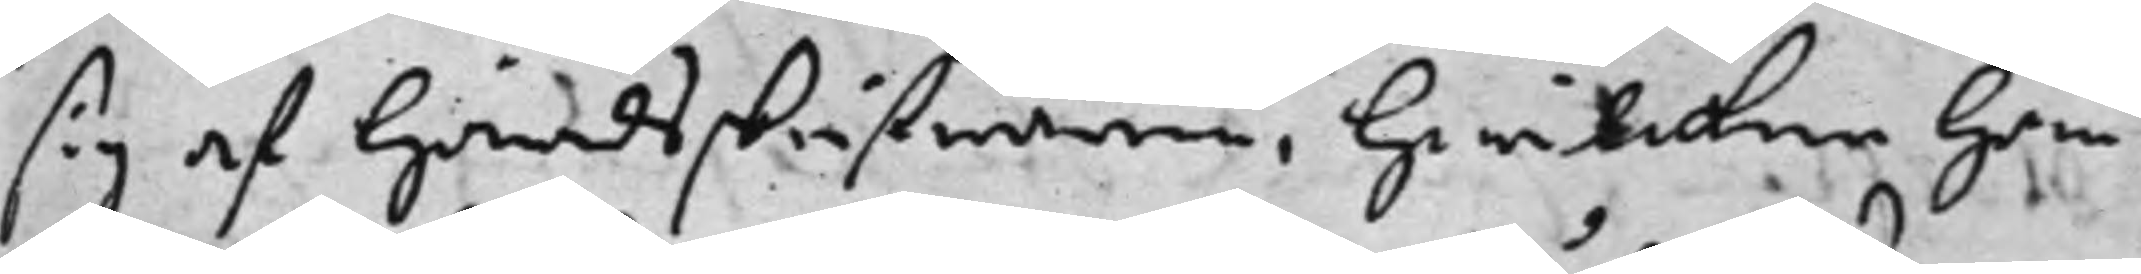sig af häradsskrifwaren, hwilcken han
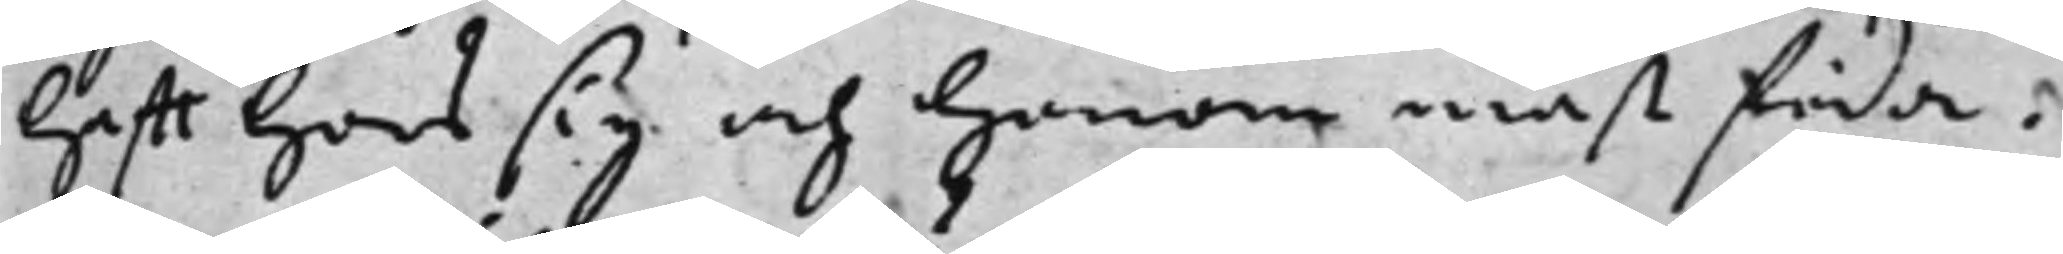hafft hoos sig och honom måst föda.
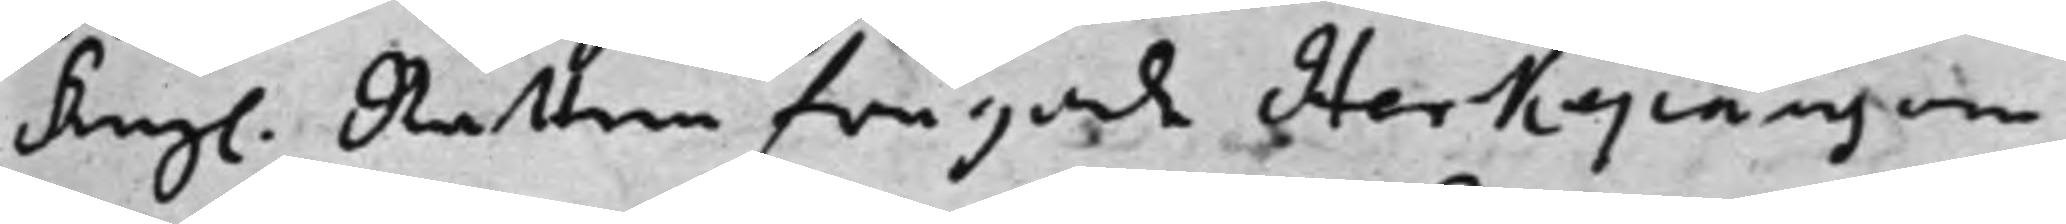Kongl. Rätten frågade Herkepäus om 
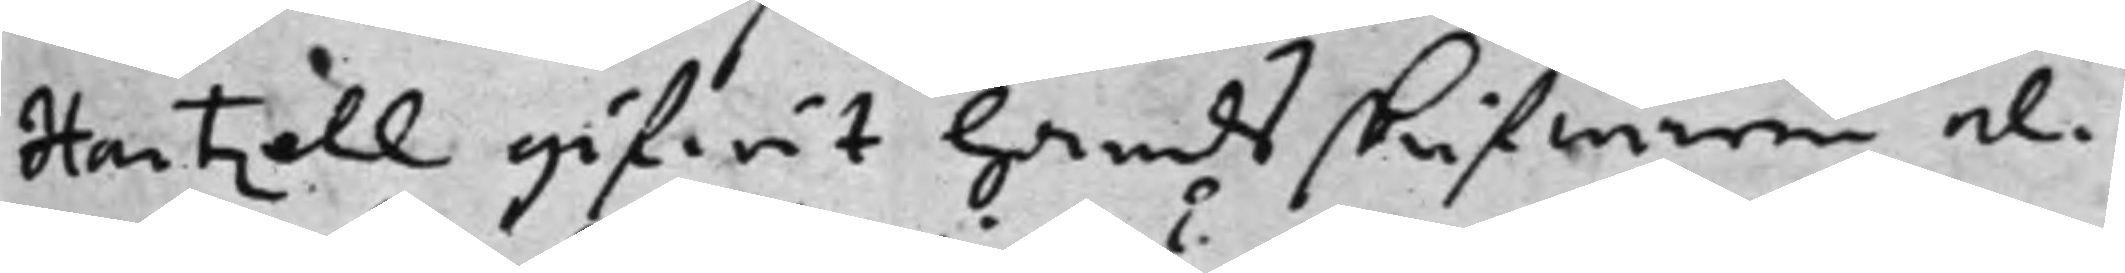Hartzell gifwit häradsskrifwaren el¬
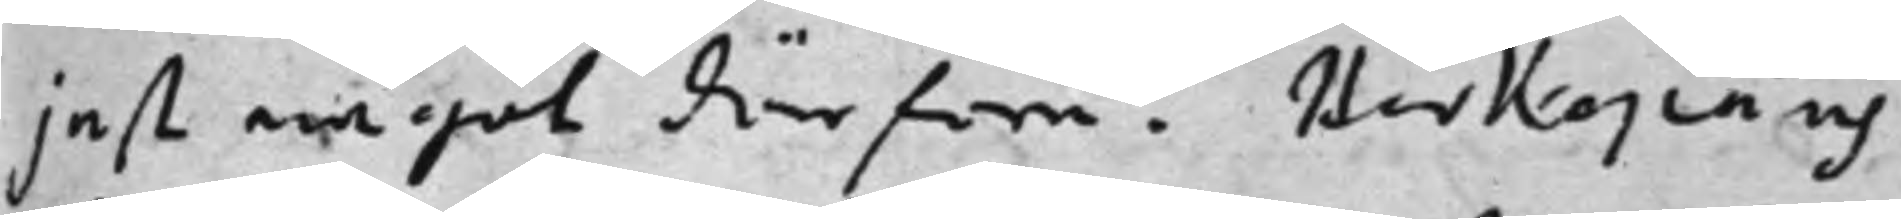jest något därföre? Herkepäus
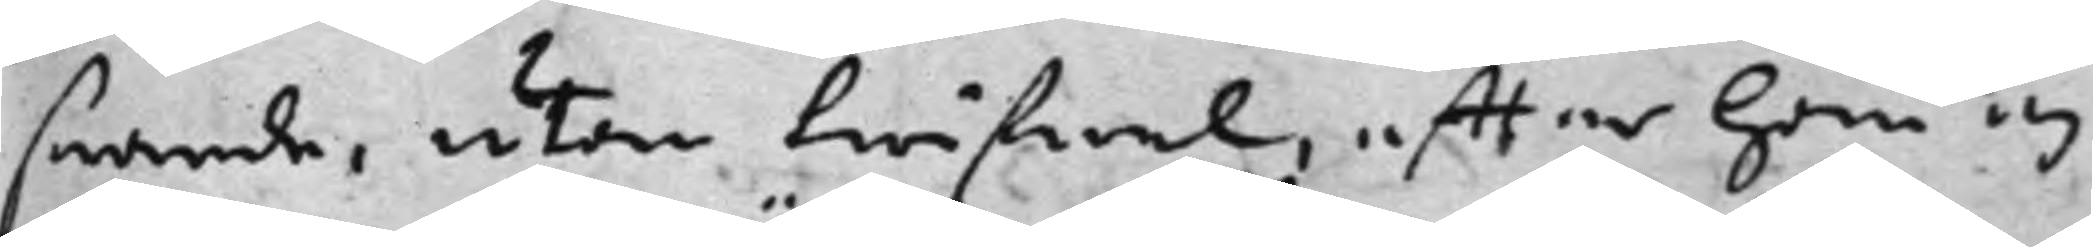swarade, utan twifwel, effter han ej
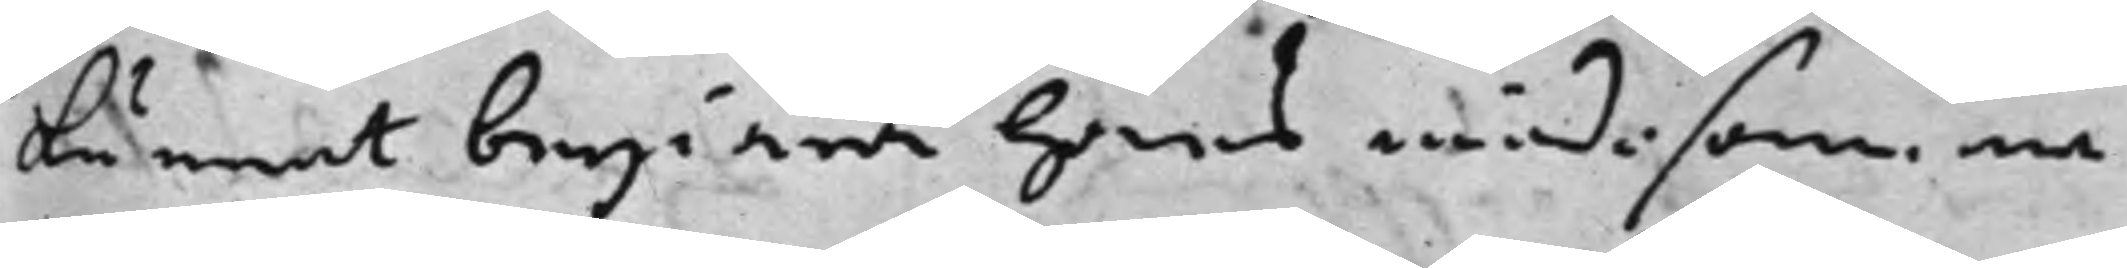kunnat begiära hans möda som en
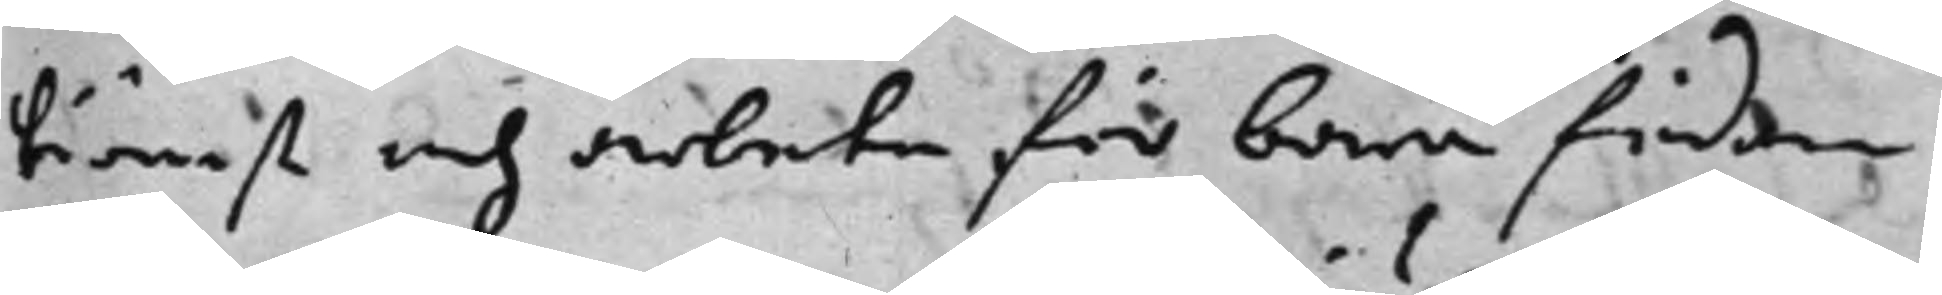tiänst och arbete för bara födan
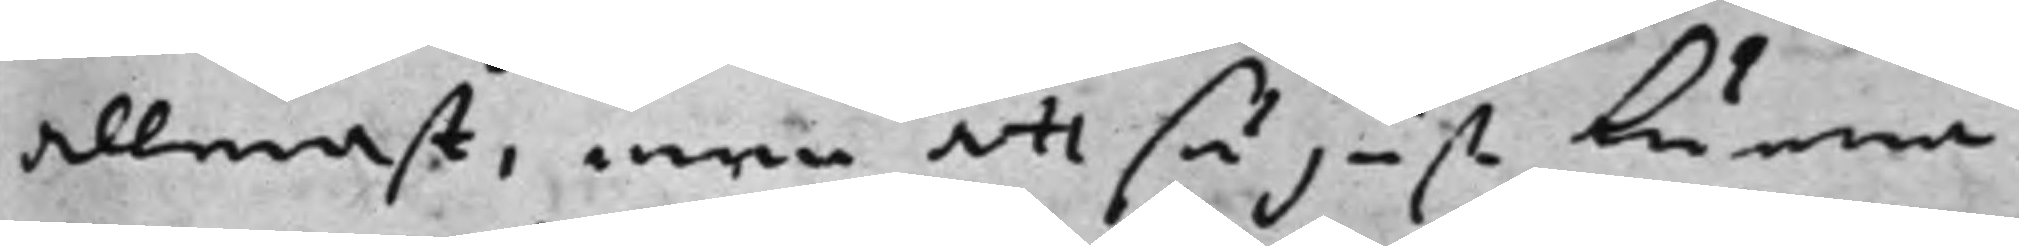allenast, men att så just kunna
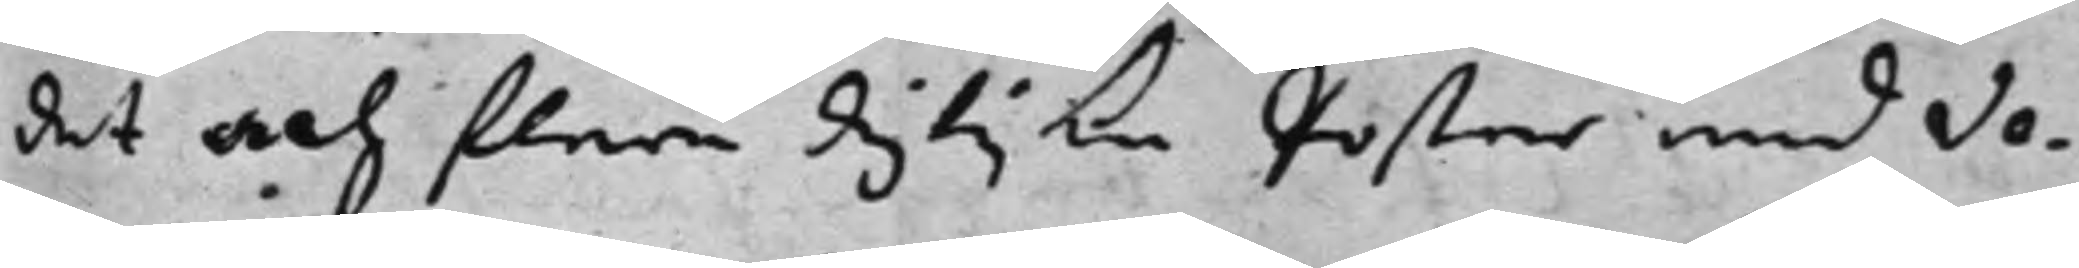det och flera dyijka Poster med Ve¬
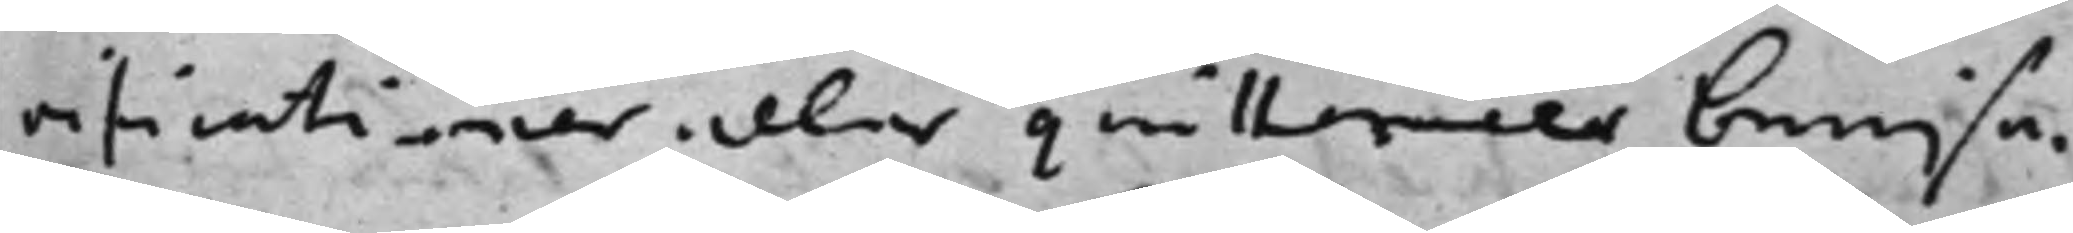rificationer eller quittencer bewisa.
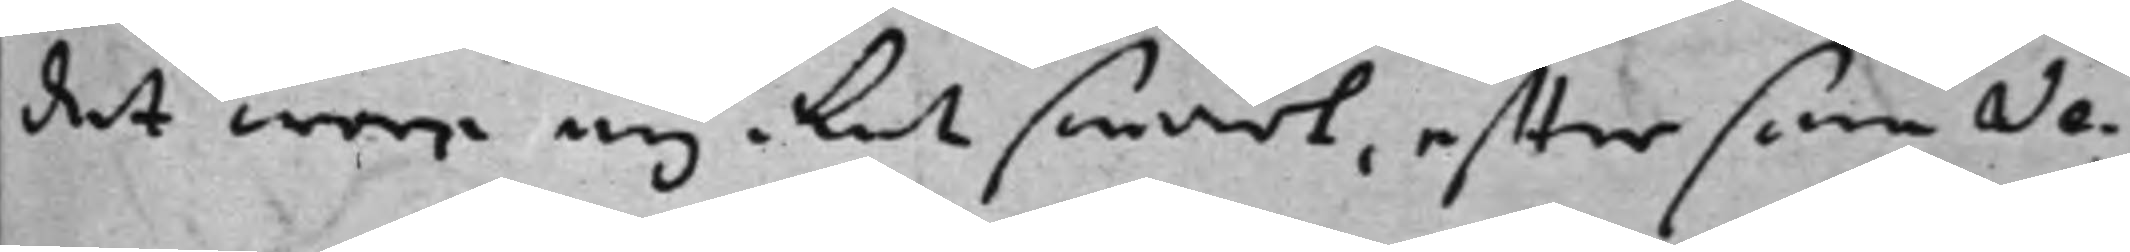det war mycket swårt, efftersom Ve¬
